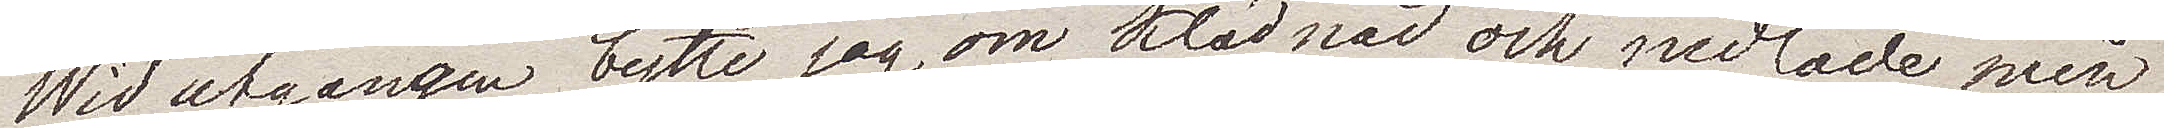Wid utgången bytte jag om klädnad och nedlade min
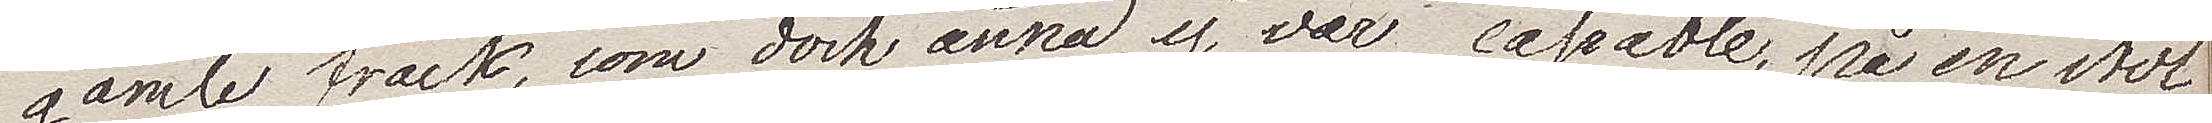gamla frack, som dock ännu ej var cassable, på en stol
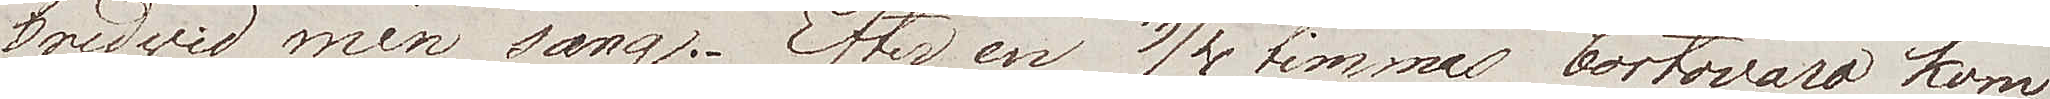bredwid min säng. Efter 3/4 timmas bortovaro kom
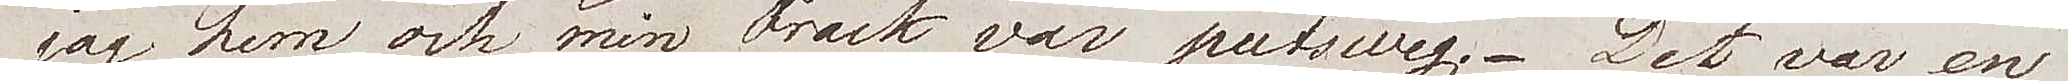jag hem och min Frack var putsweg. Det var en
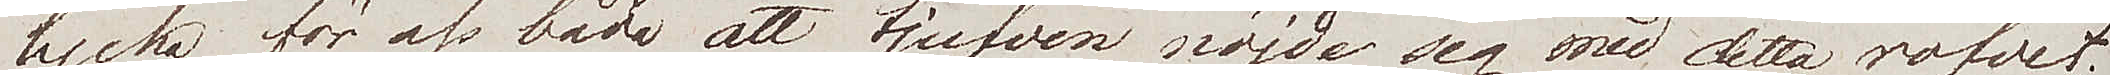lycka för oss båda att tjufven nöjde sig med detta rofvet;
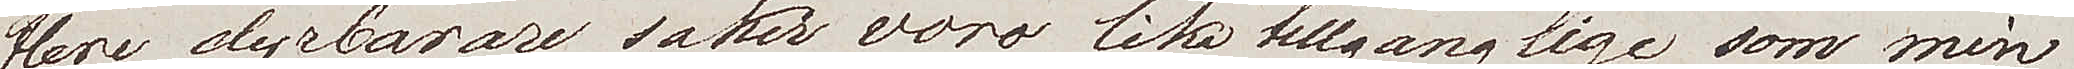flere dyrbarare saker voro lika tillgänglige som min
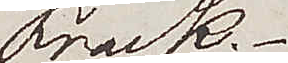Frack.
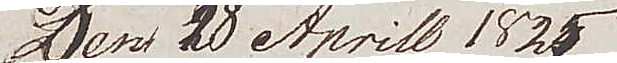Den 18 Aprill 1825
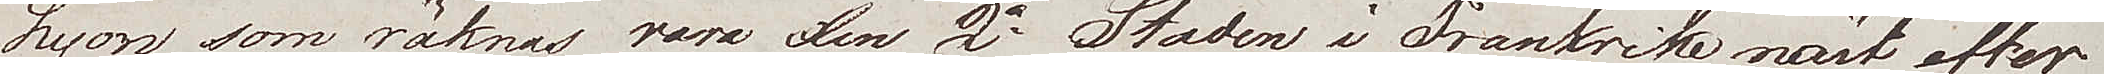Lyon som räknas vara den 2a Staden i Frankrike näst efter
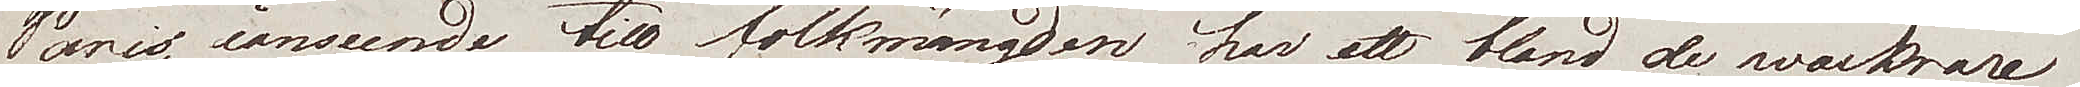Paris ianseende till folkmängden har ett bland de vackrare
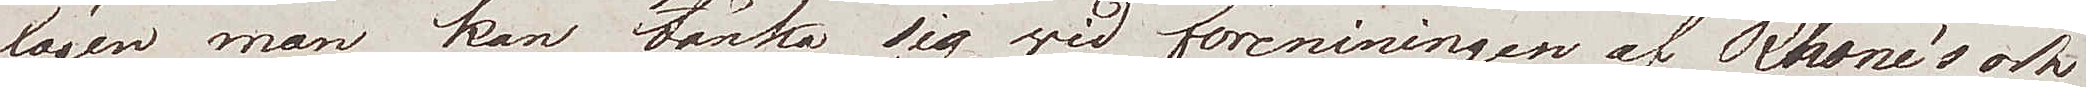lägen man kan tänka sig vid föreningen av Rhone´s och
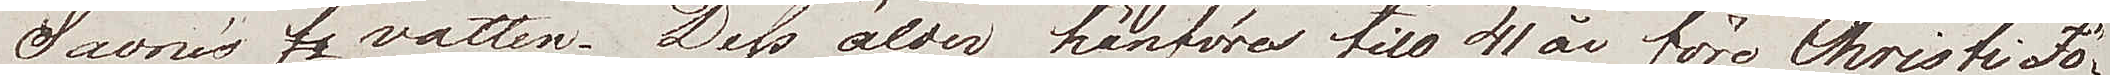Saone´s vatten. Dess ålder hänföres till 41 år före Christi Fö¬
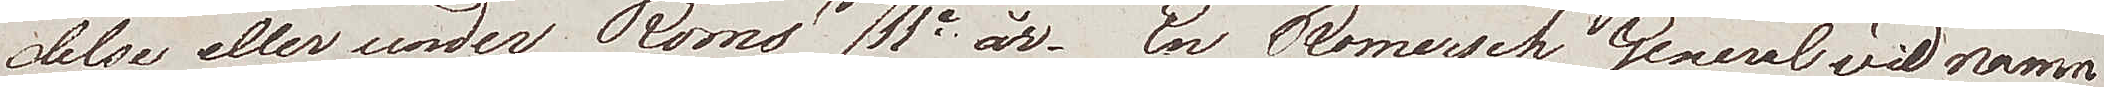delse eller under Roms 753e år. En Romersk General vid namn
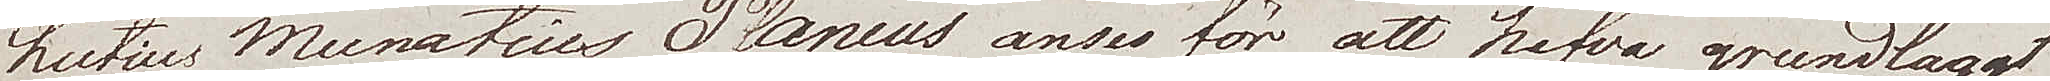Lucius Munatius Plancus anses för att hafva grundlagt
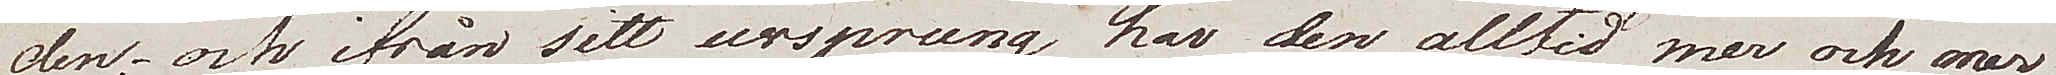den; och ifrån sitt ursprung har den alltid mer och mer
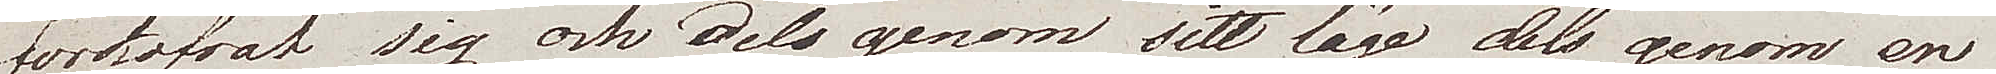förkofrat sig och dels genom sitt läge dels genom en
